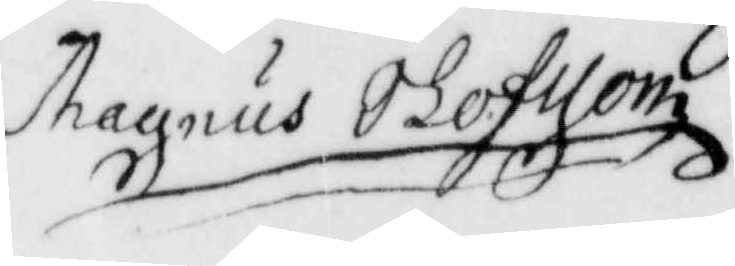Magnus Olofzon.
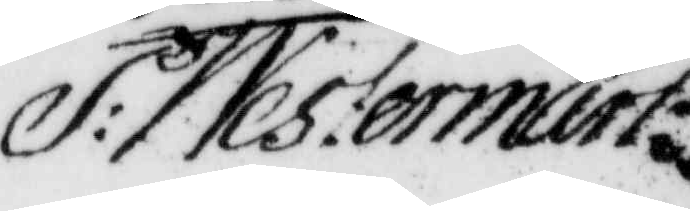P: Westermart
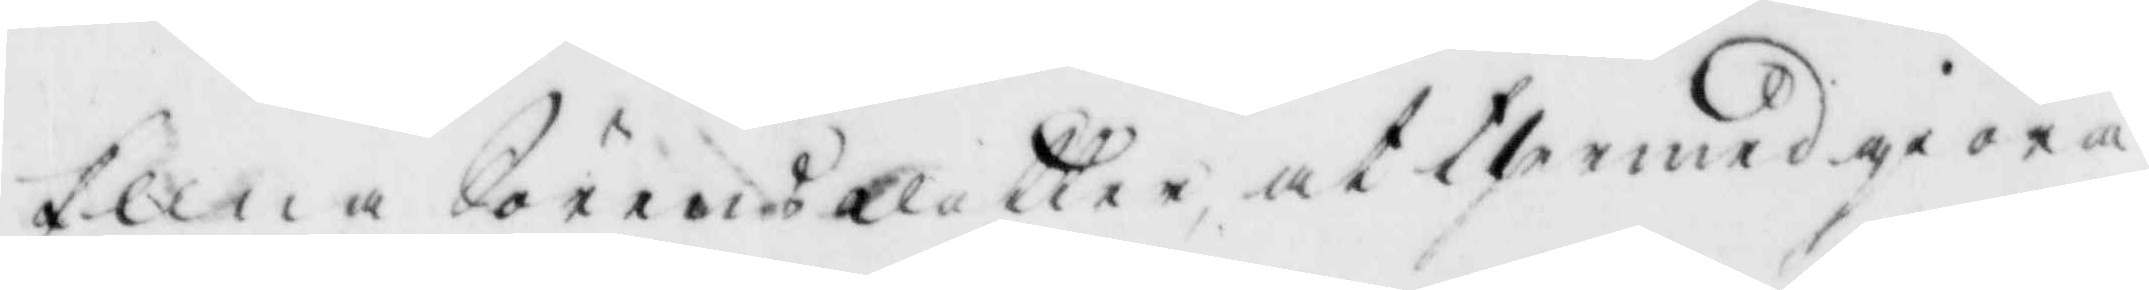Ellna Sörensdotter at thermed giöra
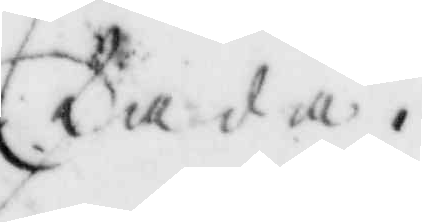skada.
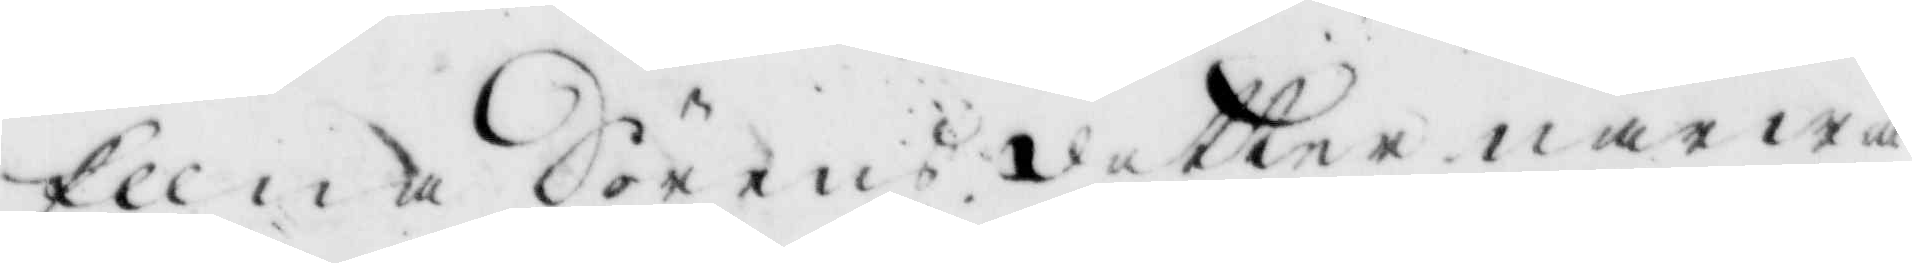Ellna Sörensdotter närwa¬
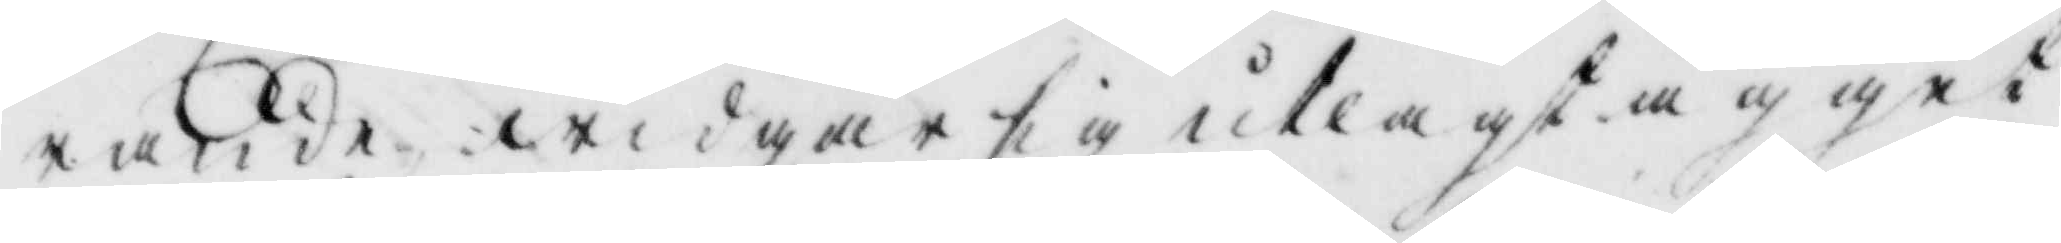rande widgår sig utlagt ägget
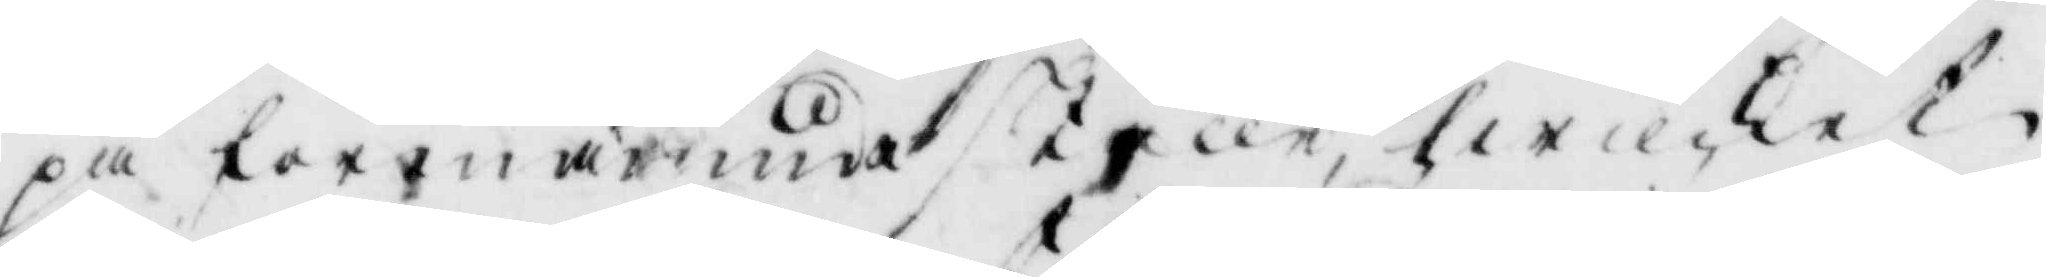på förenämde skulle, hwilket
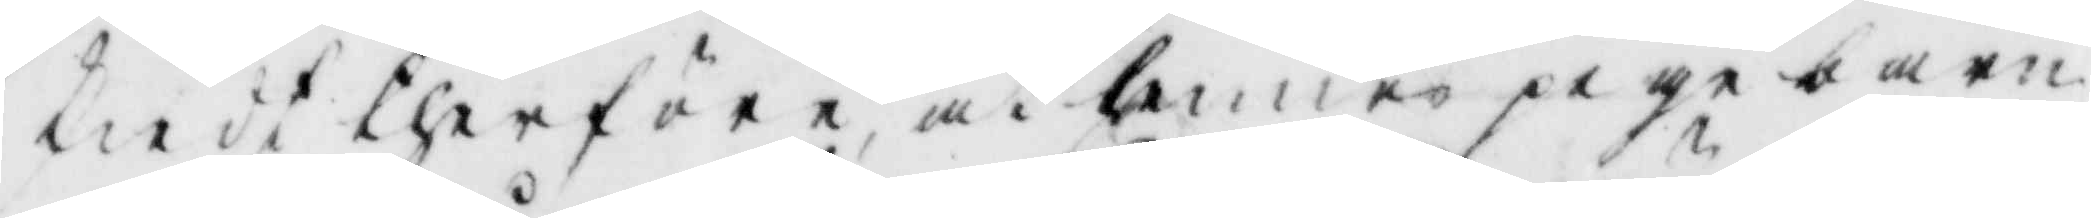skiedt therföre at hennes pige barn
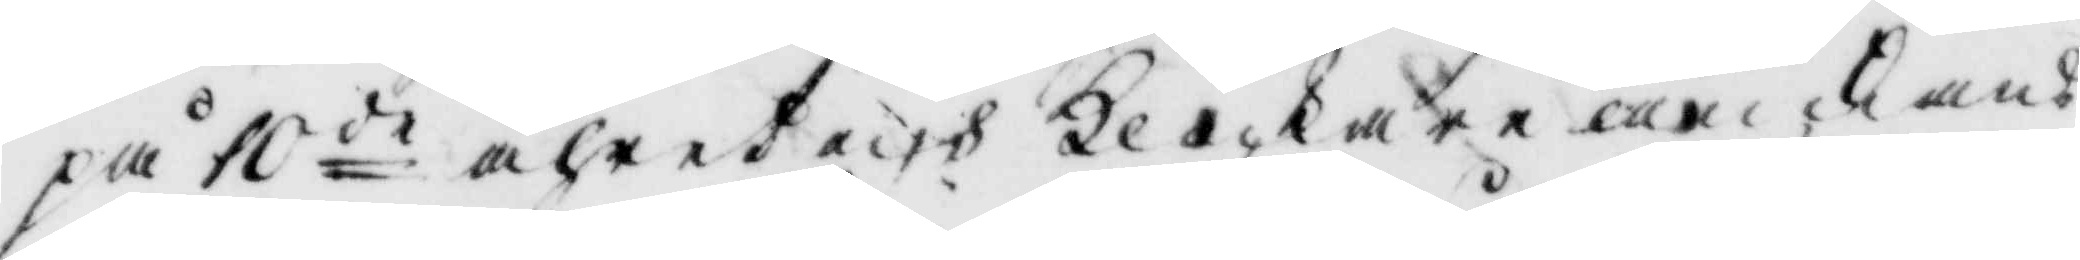på 10de åhret och Klockare änkans
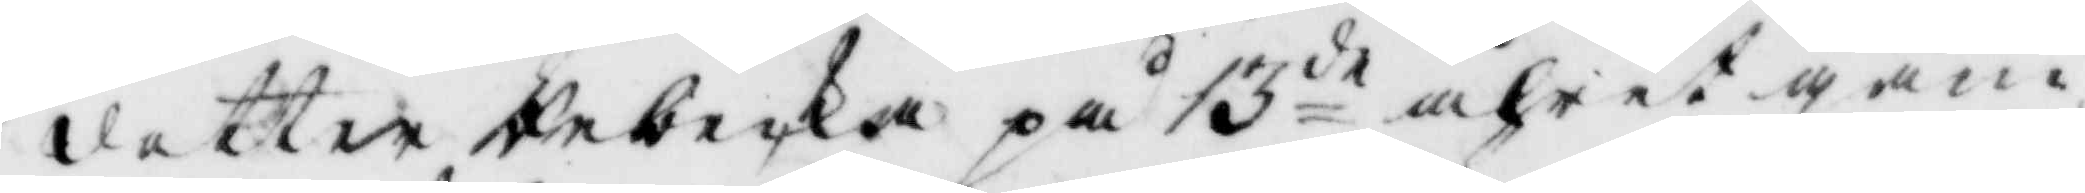dotter Rececka på 13de åhret gam¬
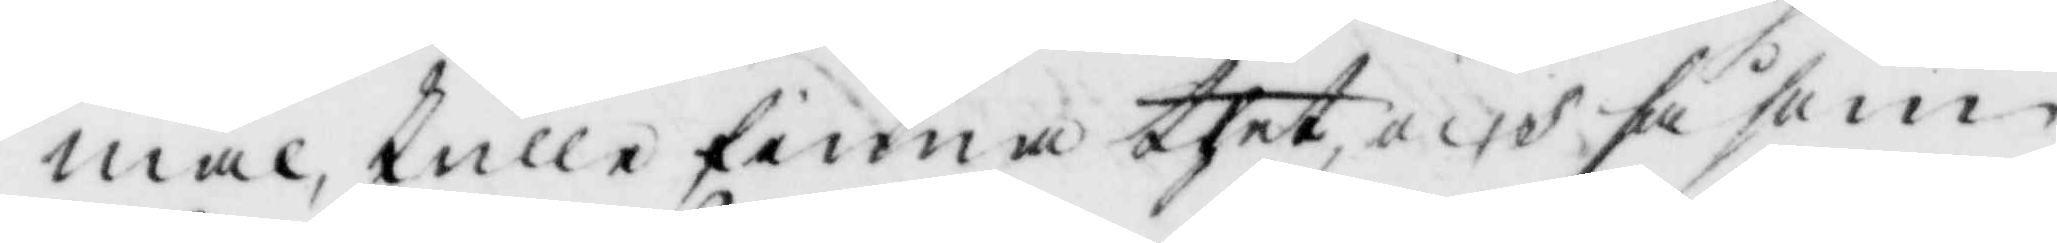mal, skulle finna thet och få som
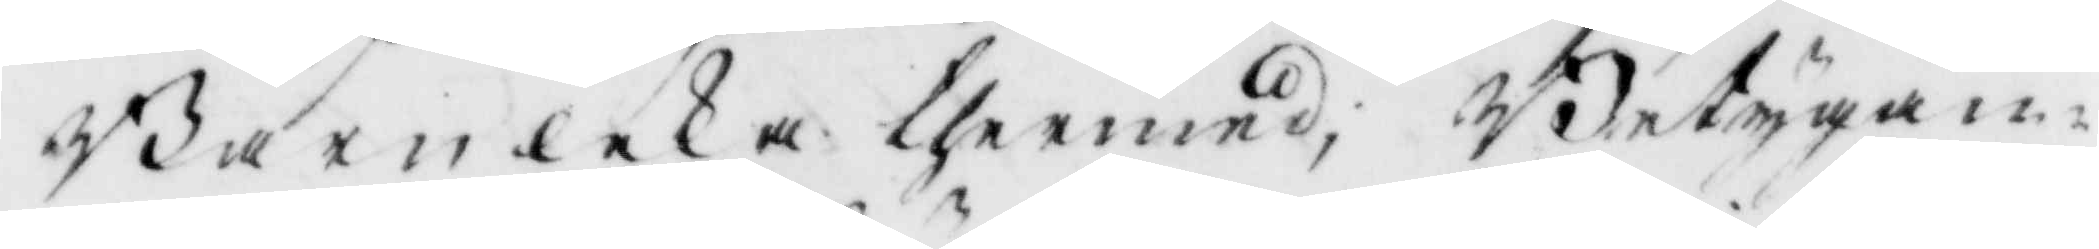Barnleka thermed, Betygan¬
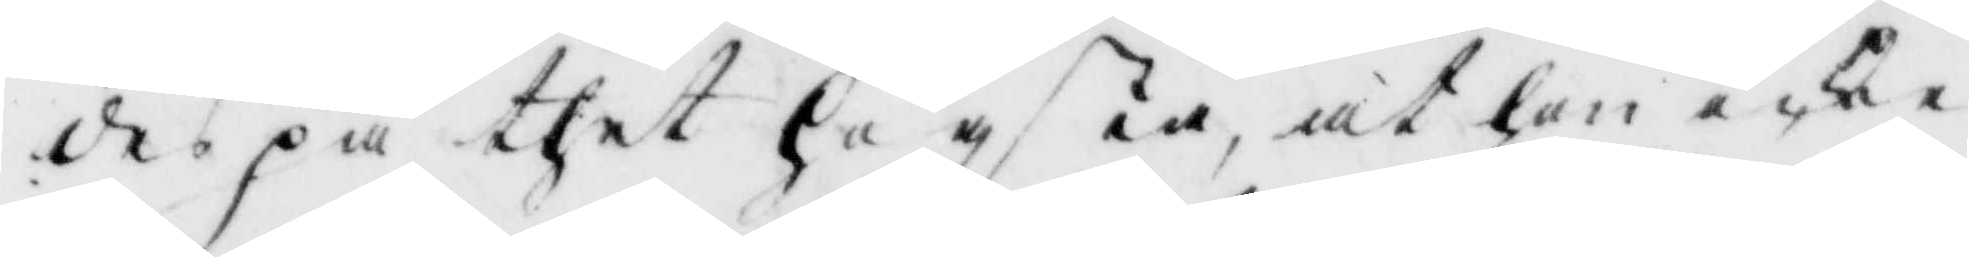des på thet högsta, at hon icke
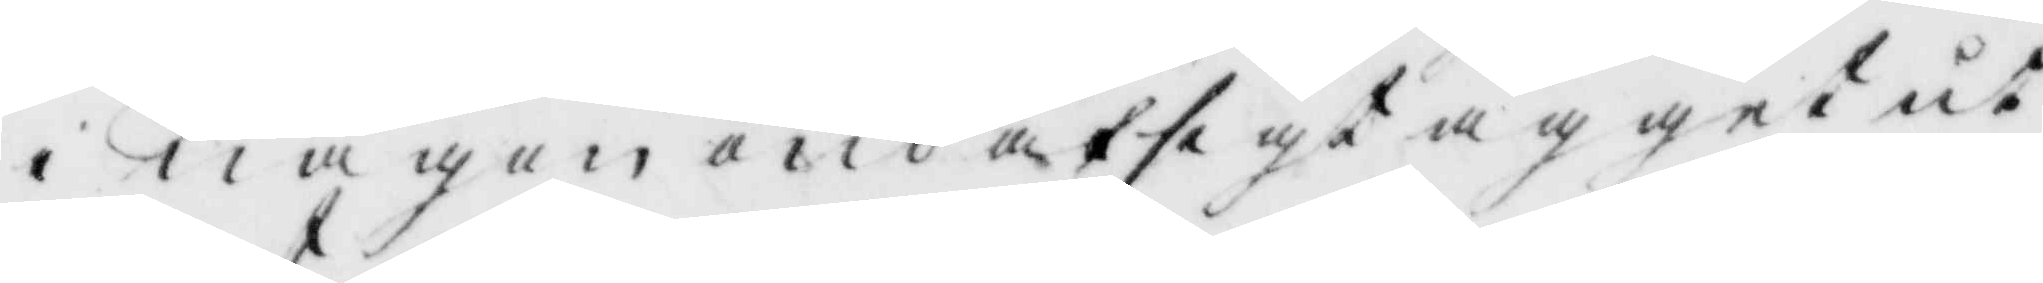i någon ond afsigt ägget ut¬
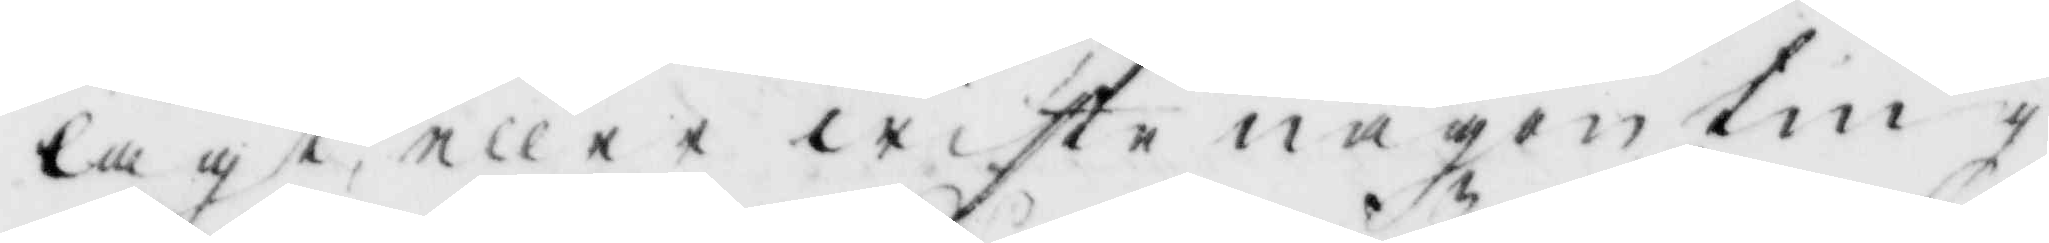lagt, eller wiste någon ting
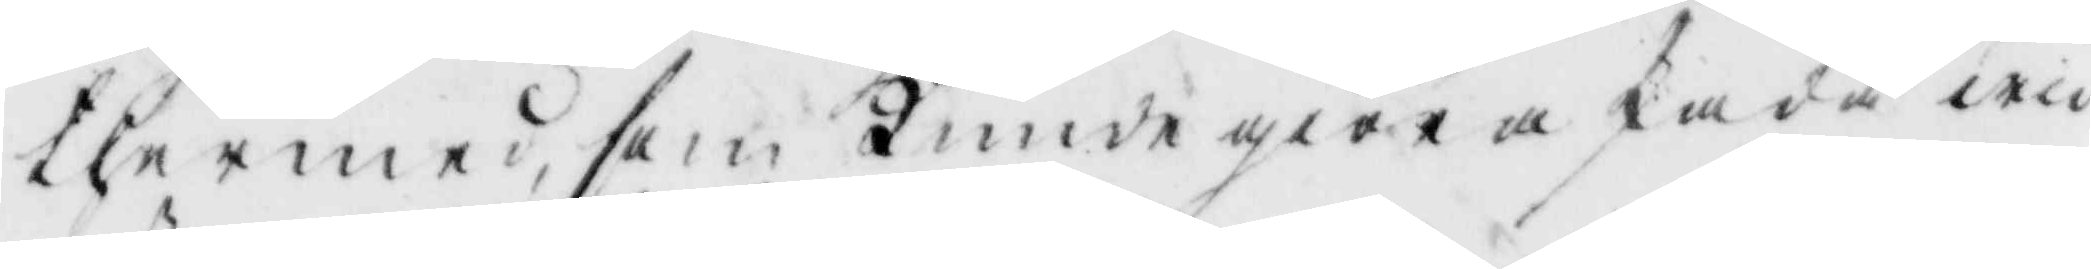thermed, som kunde giöra skada wid
